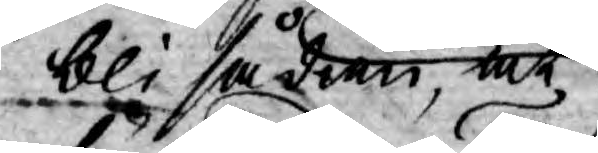bli sådan, at
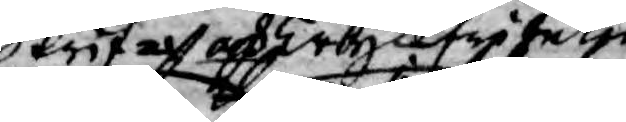skrif och tryckfriheten
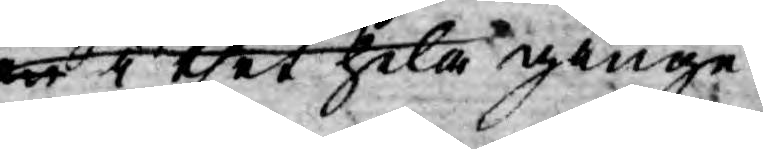han i thet hela ginge
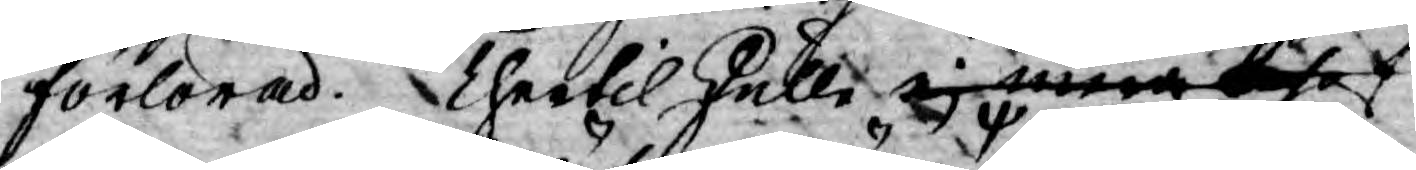förlorad. Thertil skulle ej man thet 
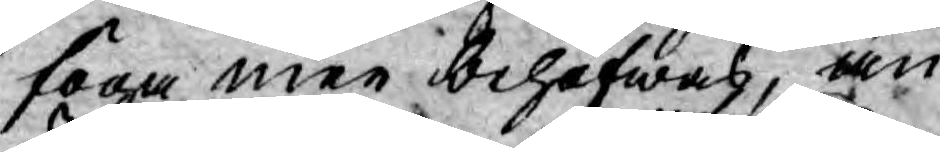föga men behöfwas, än
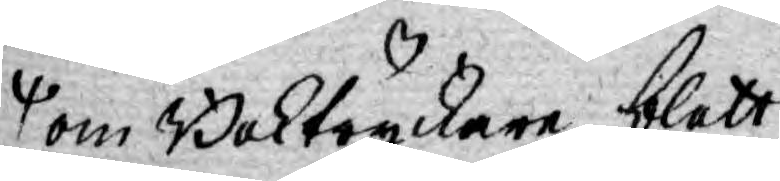om Boktryckare blott
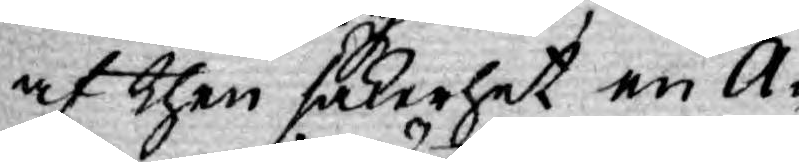af then säkerhet en A¬
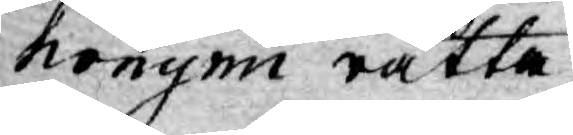nonymi rätta
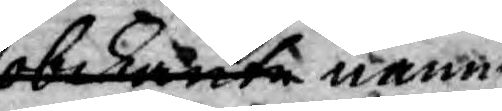obekante namn
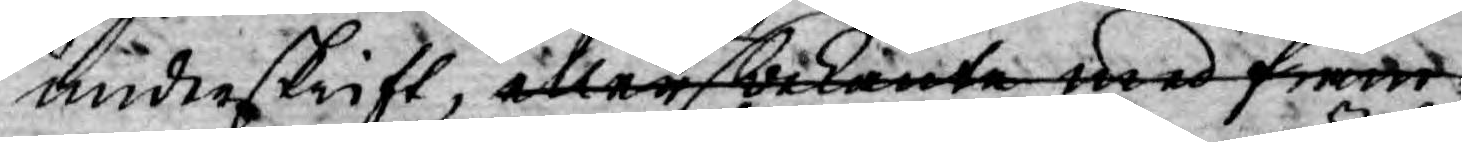underskrift, eller af bekante med främ¬
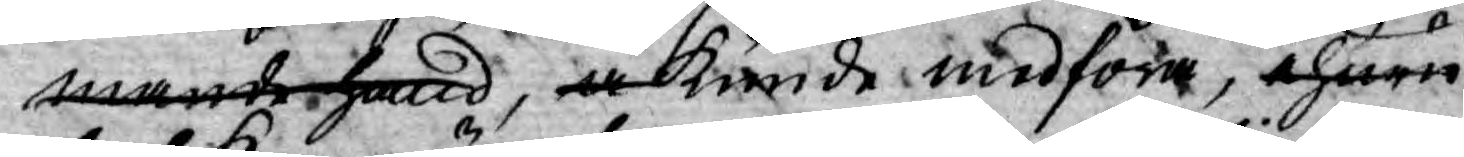mande hand, å kunde medföra, ehuru
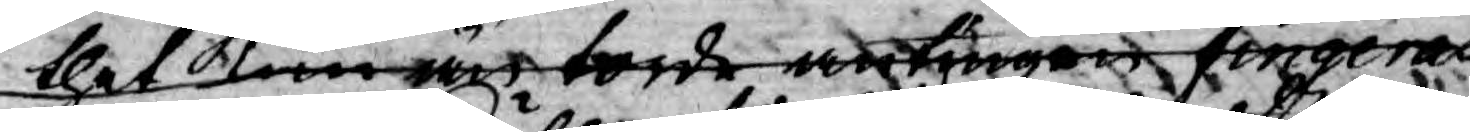thet kan än torde antingen singeras
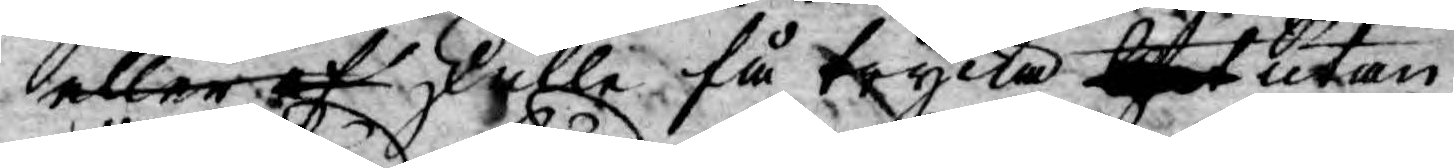eller af skulle få trycka thet utan
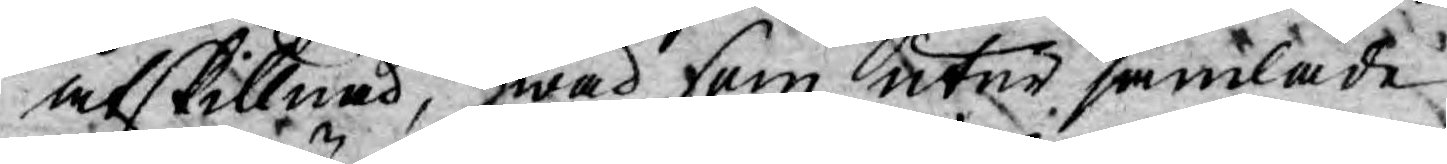åtskillnad, hwad som utur samlade
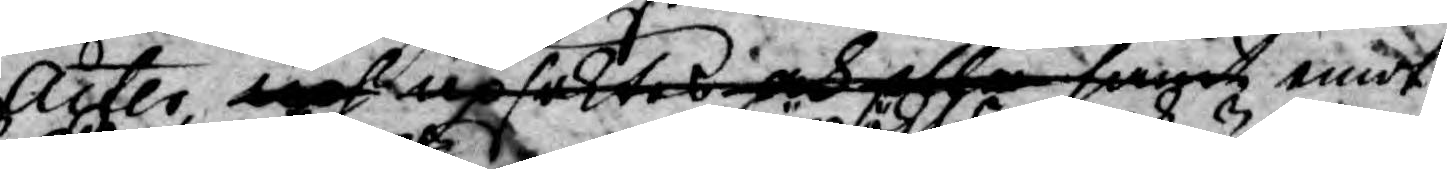Acter upsöktes och illa farit emot
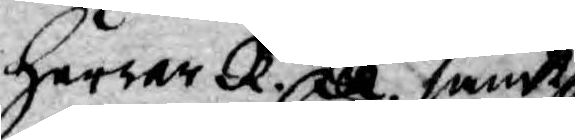Herrar R. R. samt
